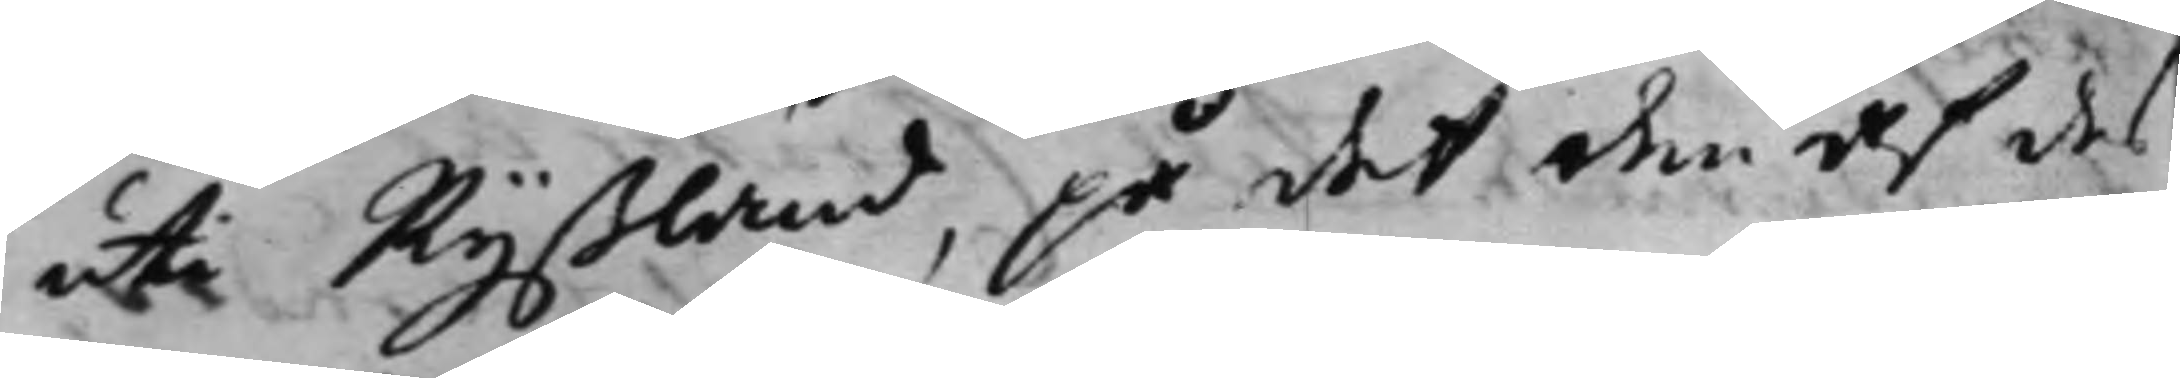uti Ryßland, på det den af des
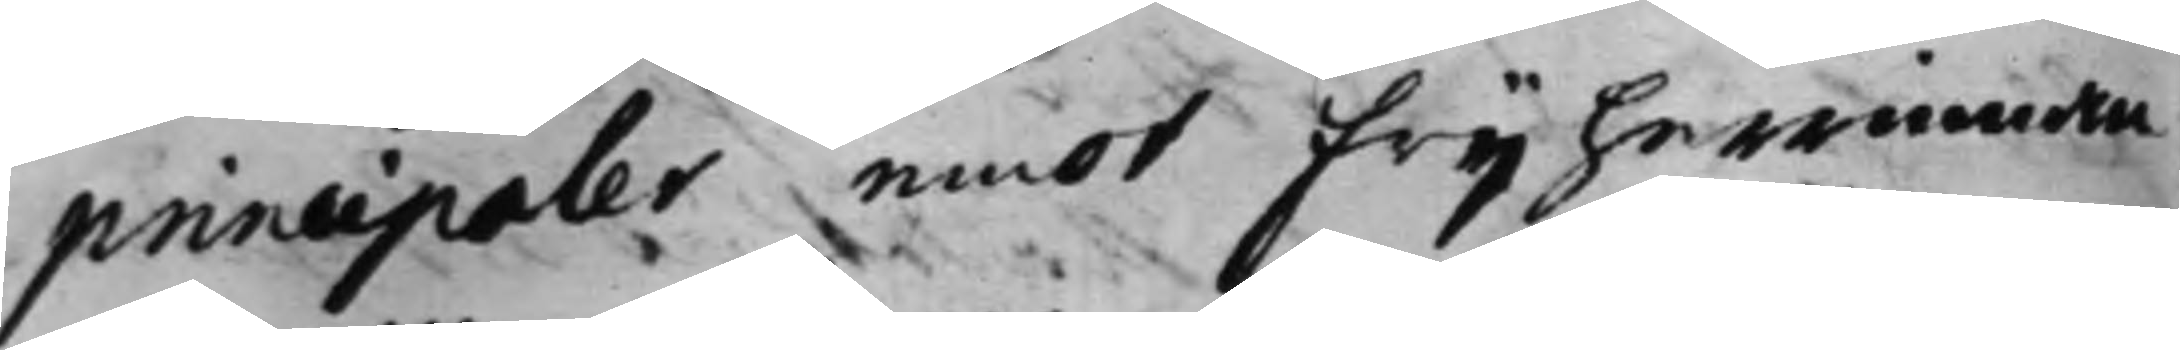principaler emot frijherrinan
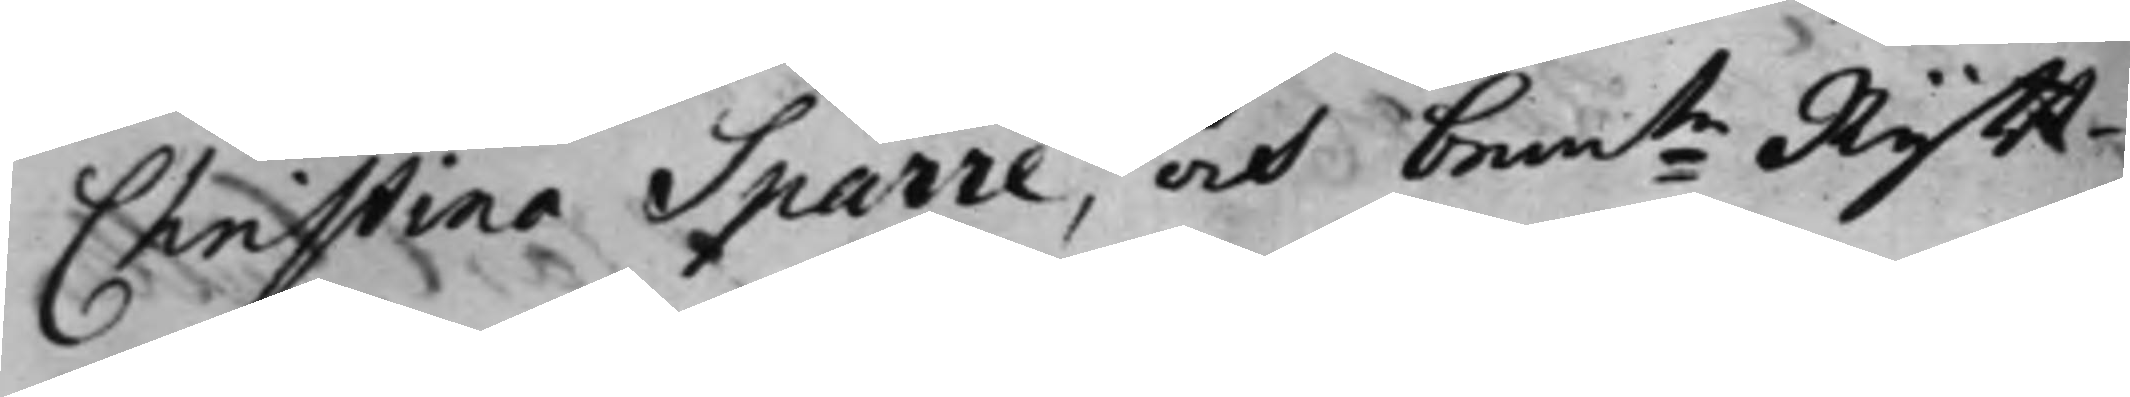Christina Sparre, och bemte Rytt¬
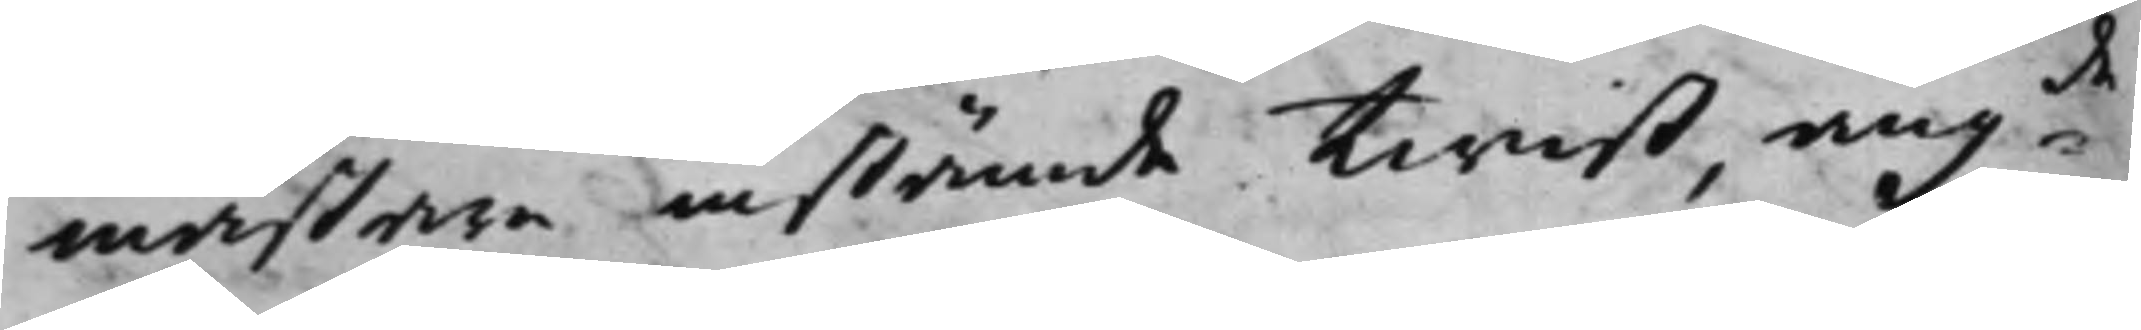mästare instämde twist, angde
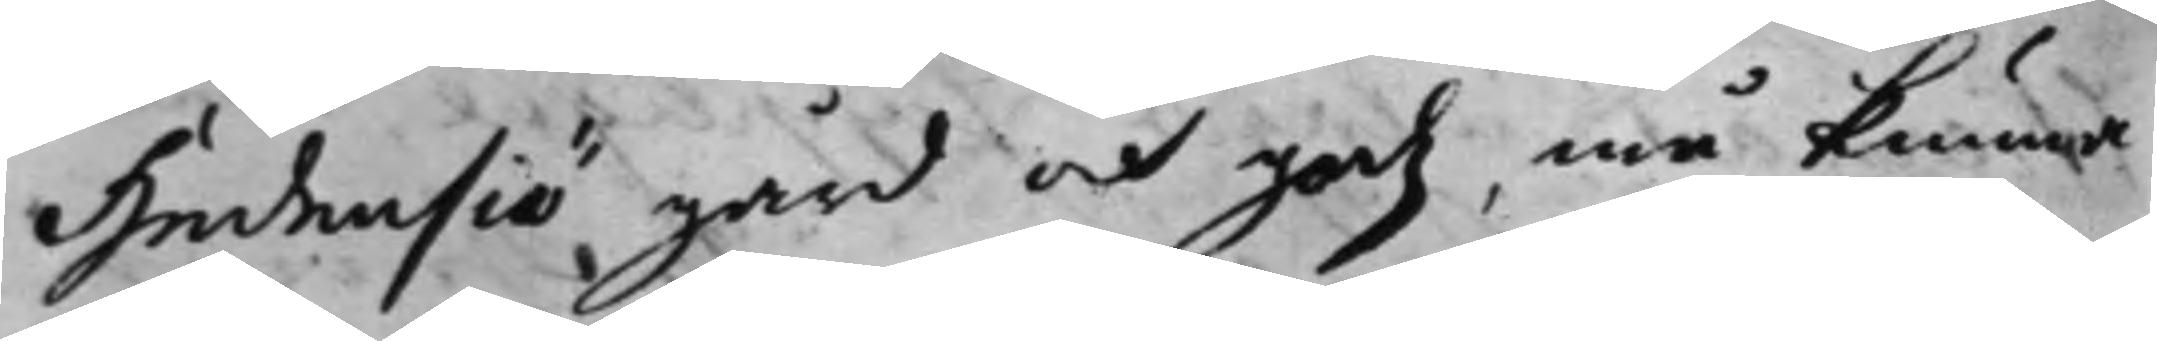Hedensiö gård och gods, må kunna
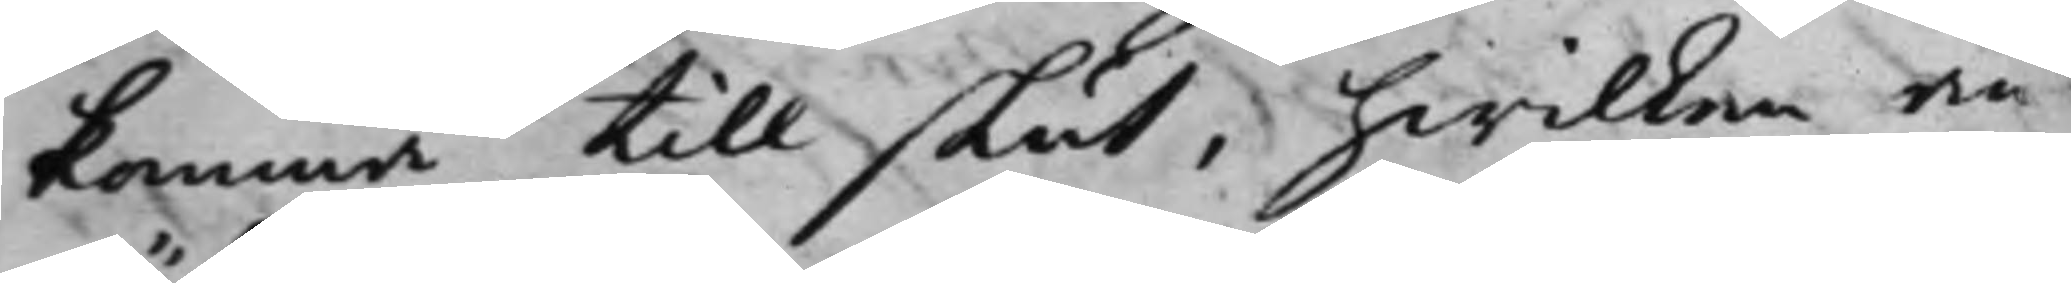komma till slut, hwilken an¬
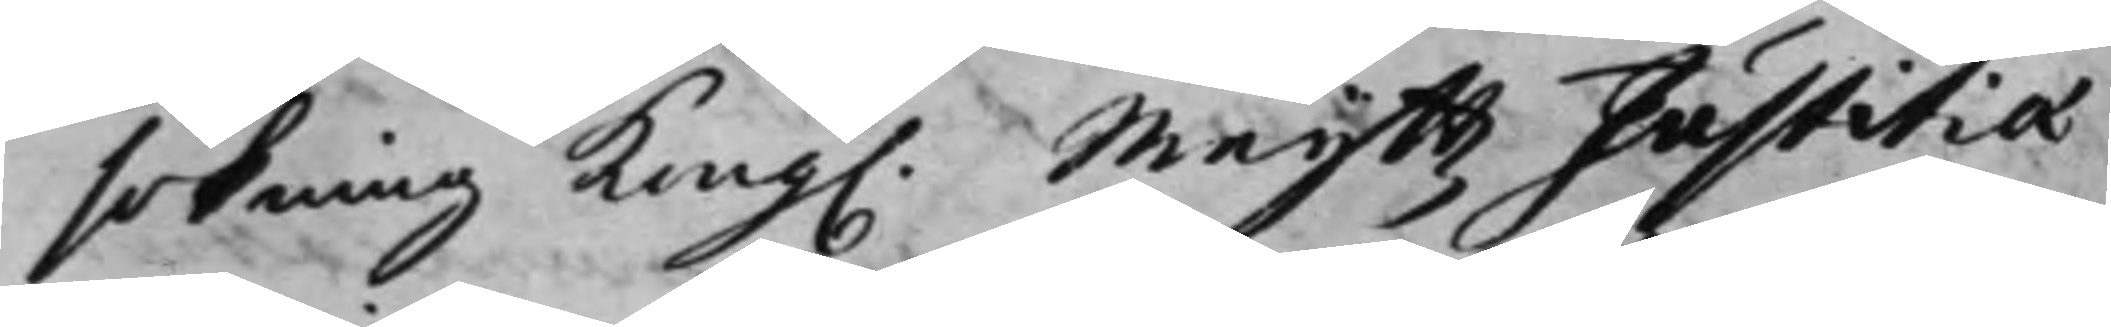sökning Kong. Maijß Justitiæ
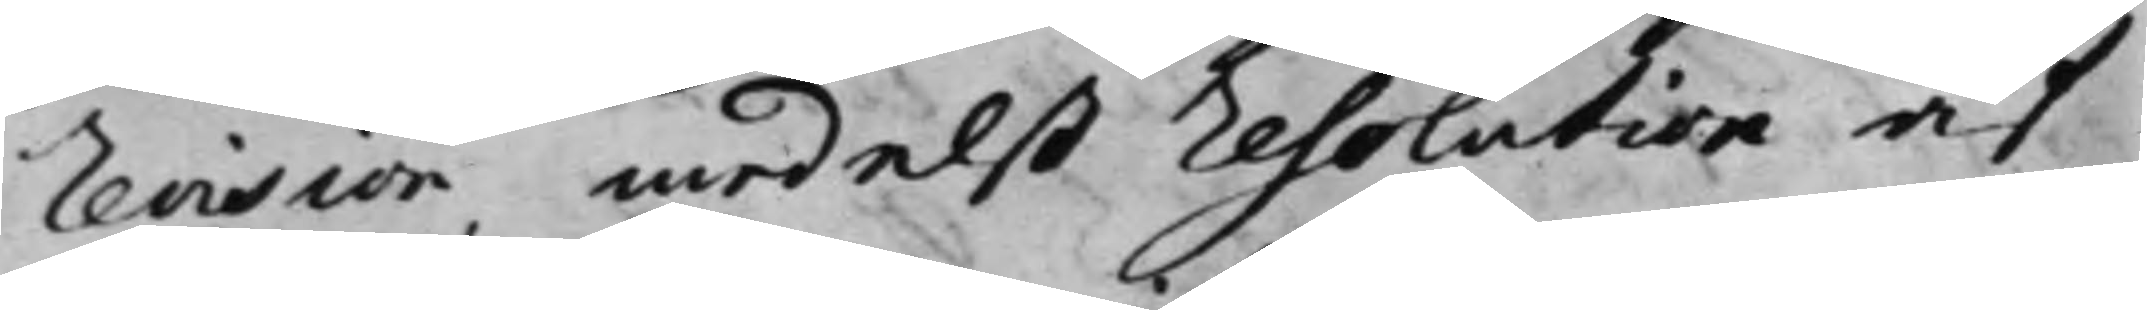Revision, medelst Resolution af
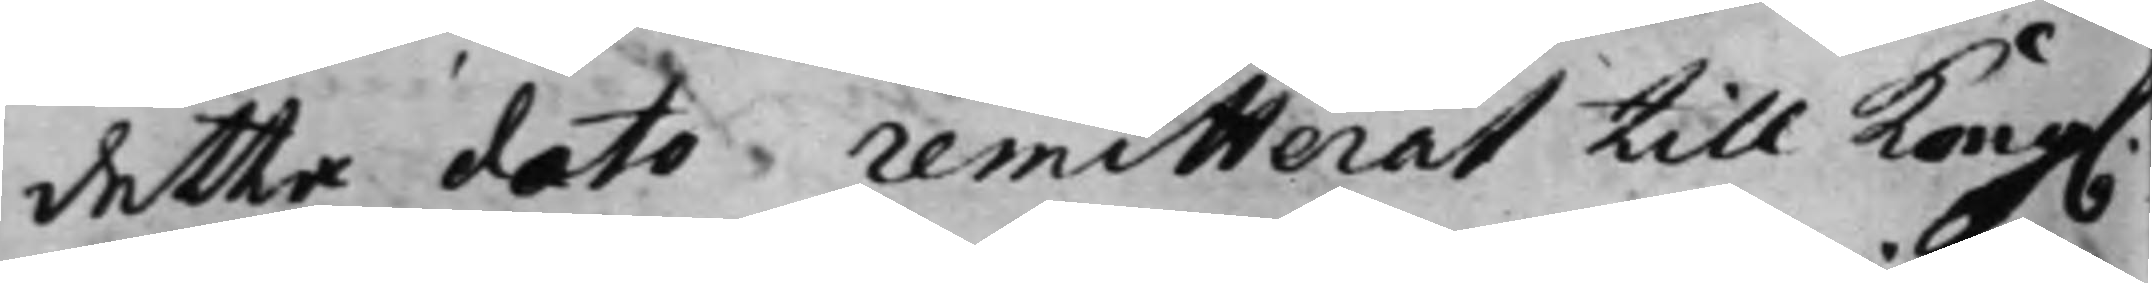detta dato remitterat till Kong.
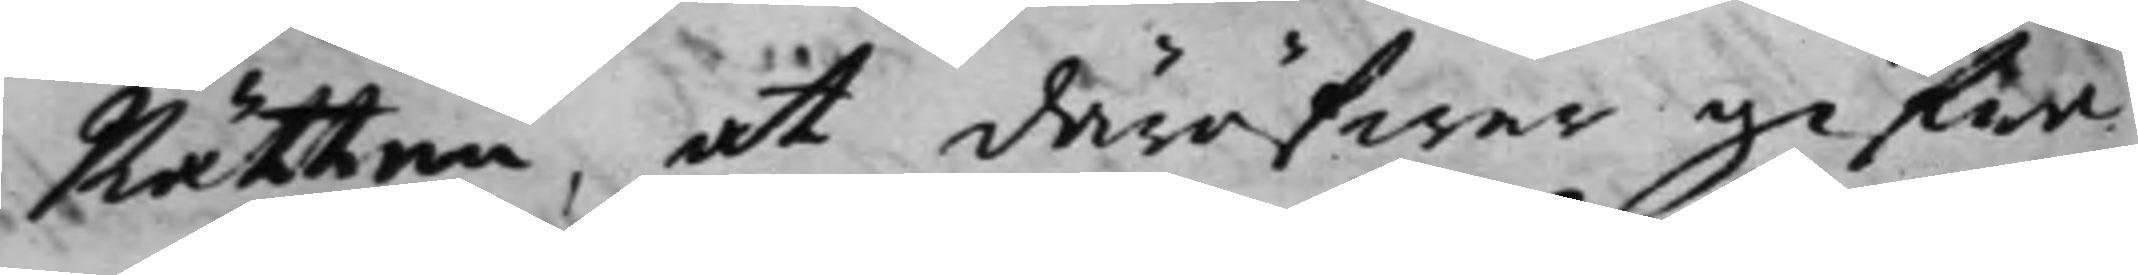Rätten, at däröfwer gifwa
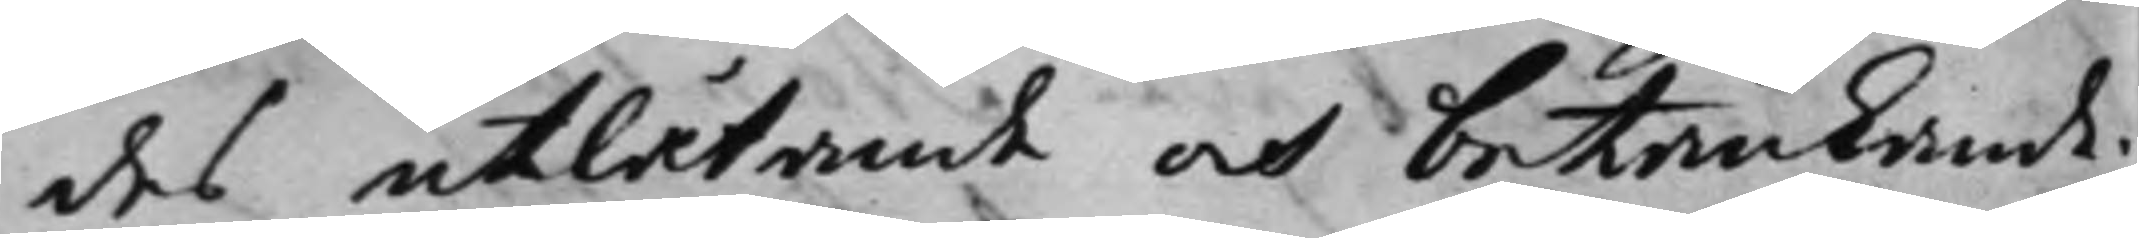des utlåtande och betänkande.
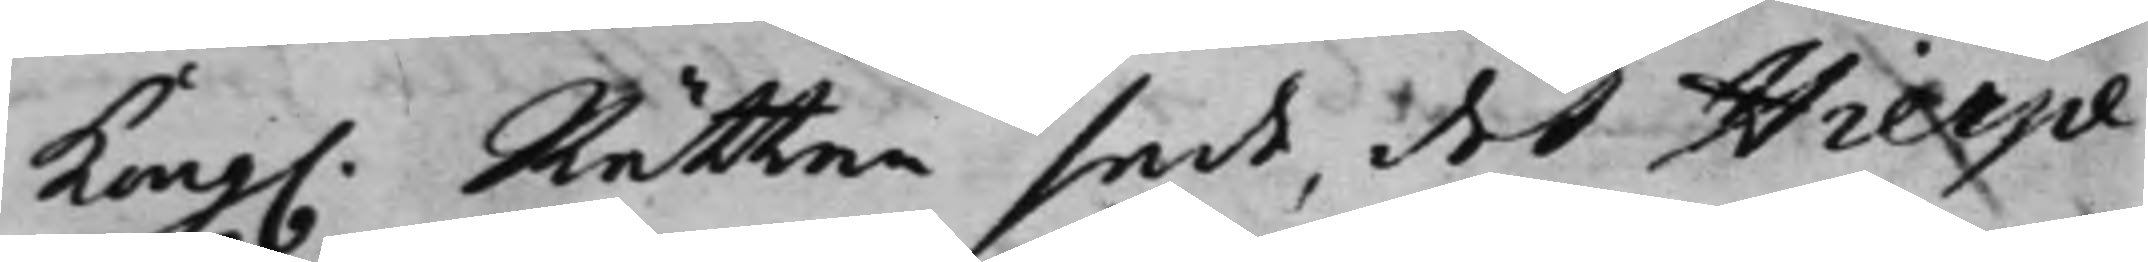Kong. Rätten sade, det Hierpe
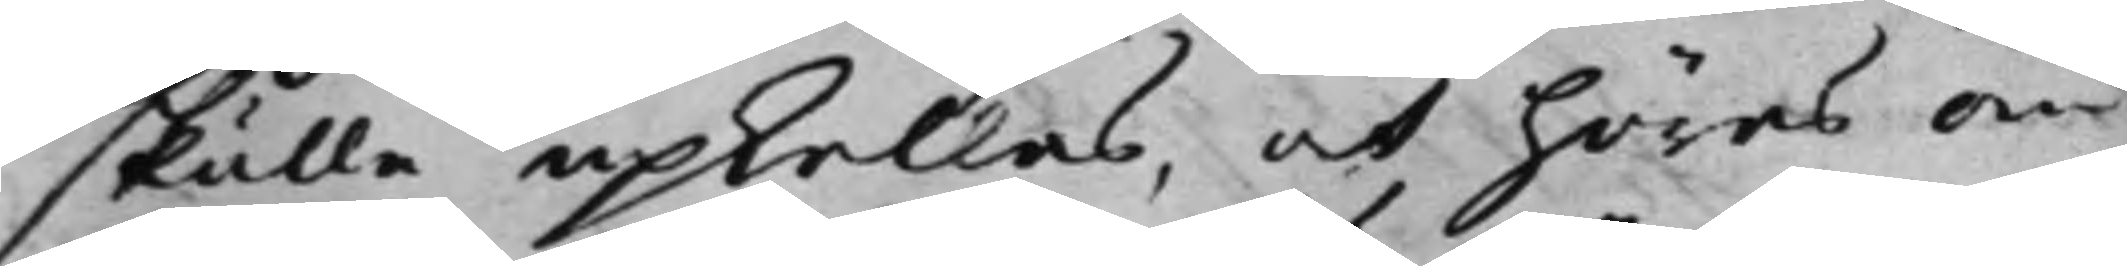skulle upkallas, och höras om
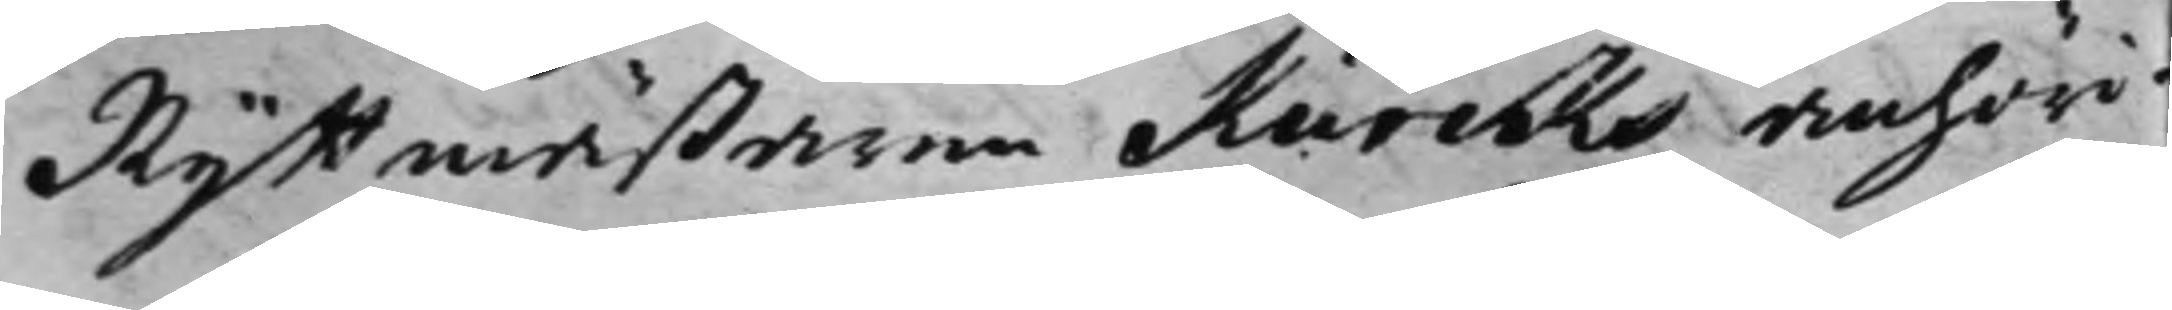Ryttmästaren Kurcks anhöri¬
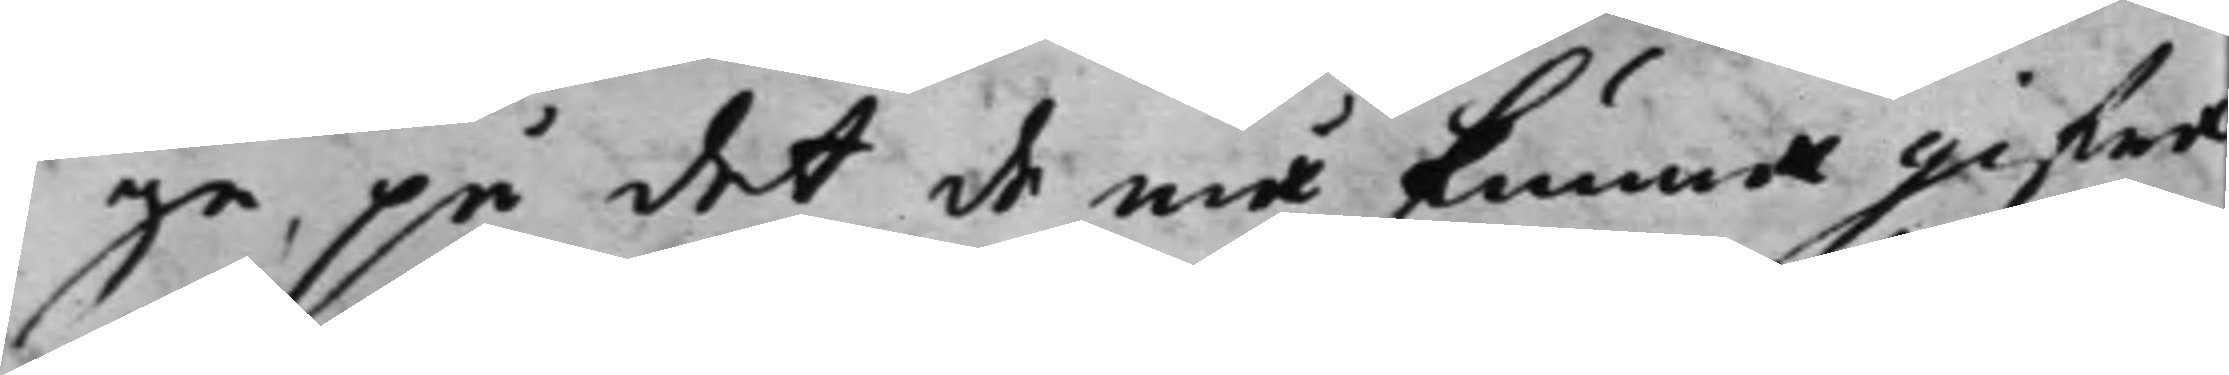ga, på det de må kunna gifwa
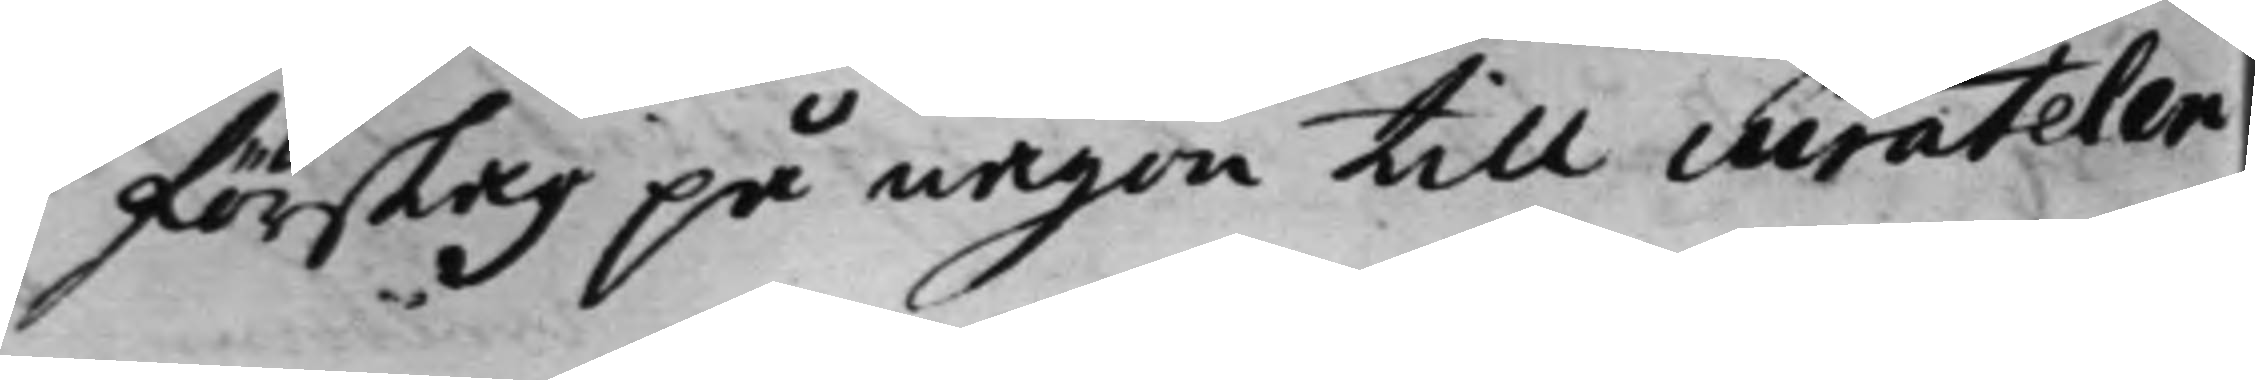förslag på någon till curateler
